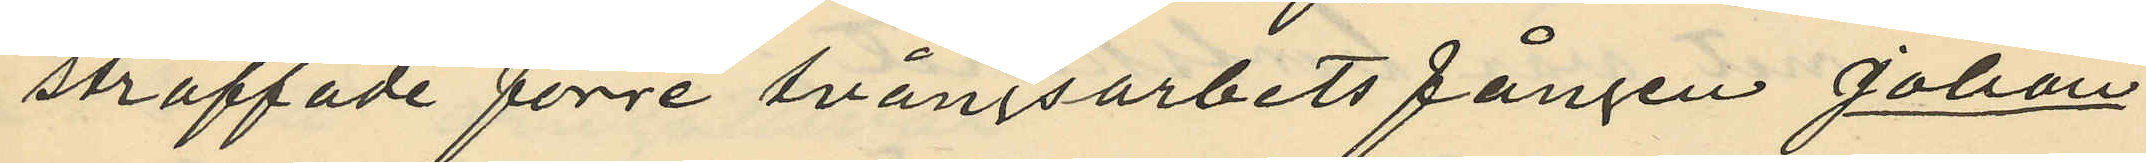straffade förre tvångsarbetsfången Johan
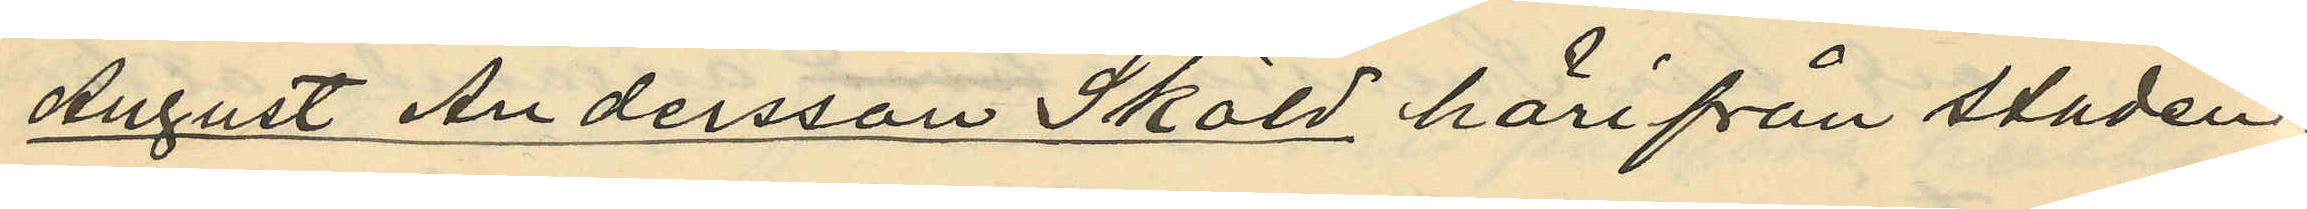August Andersson Sköld härifrån staden
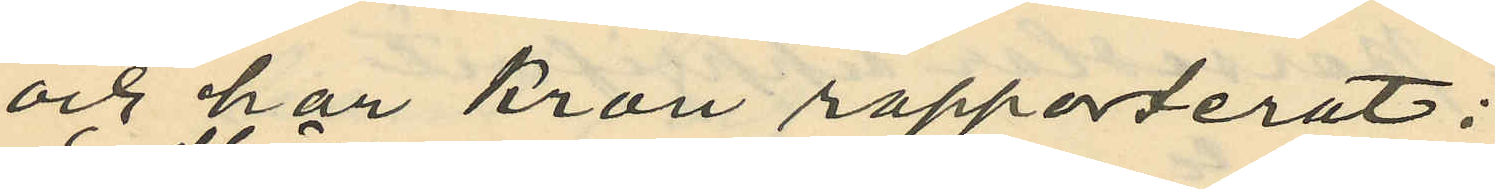och har Kron rapporterat:
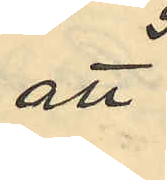att
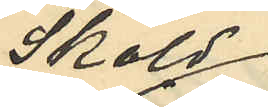Sköld
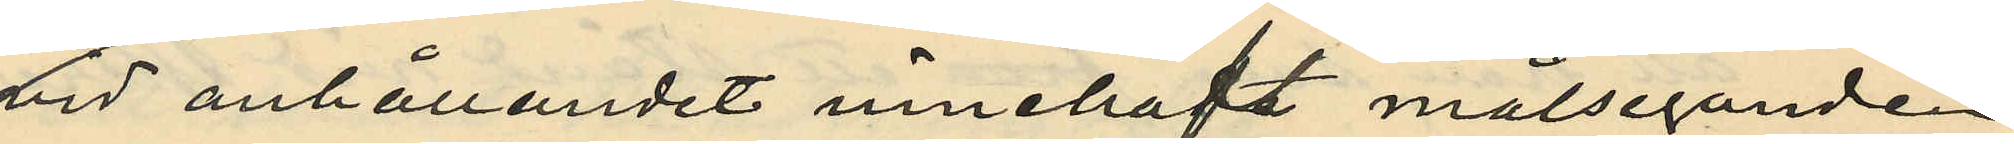vid anhållandet innehaft målsegande
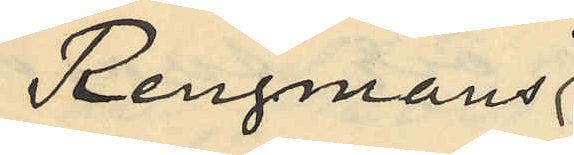Rengmans
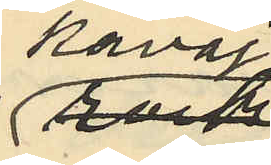kavaj
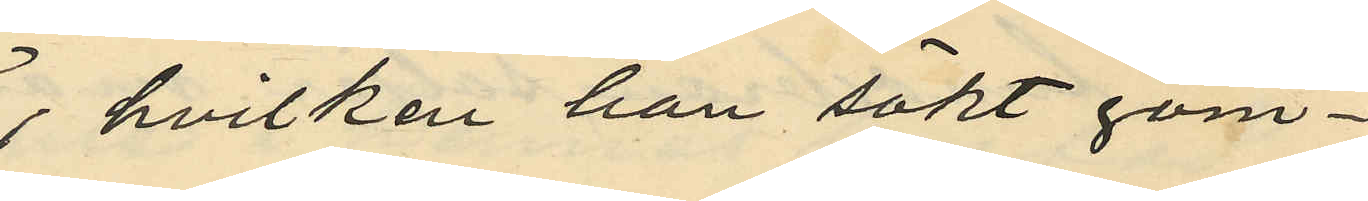, hvilken han sökt göm¬
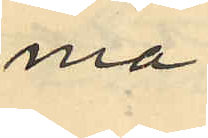ma
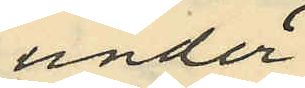under
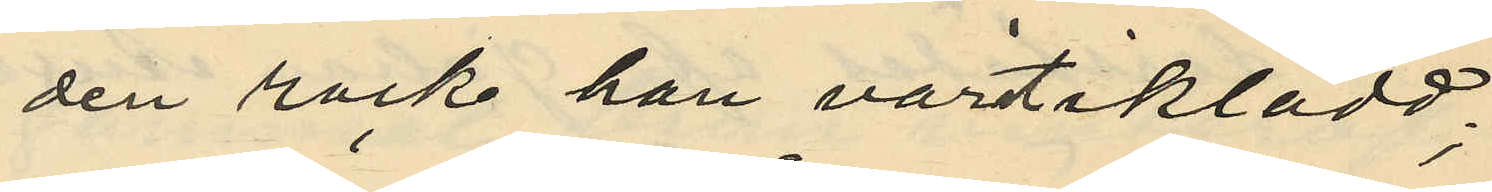den rock han vartit iklädd;
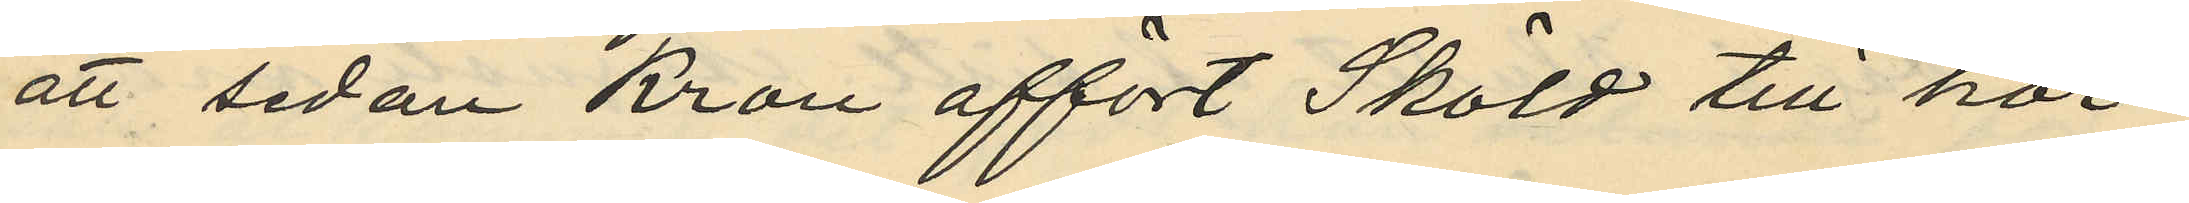att sedan Kron affört Sköld till hör¬
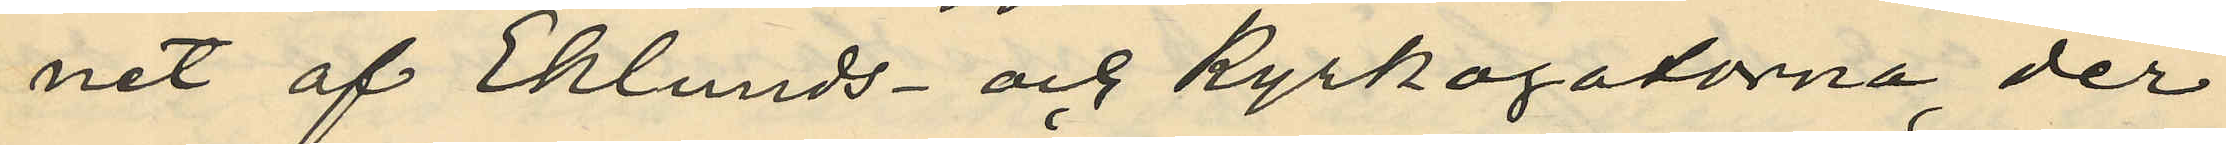net af Eklunds och kyrkogatorna, der
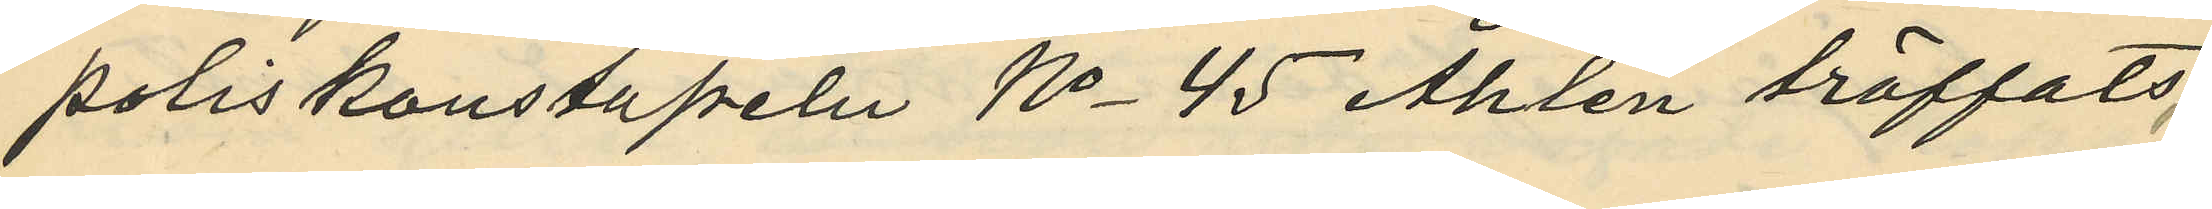poliskonstapeln No 45 Ahlén träffats,
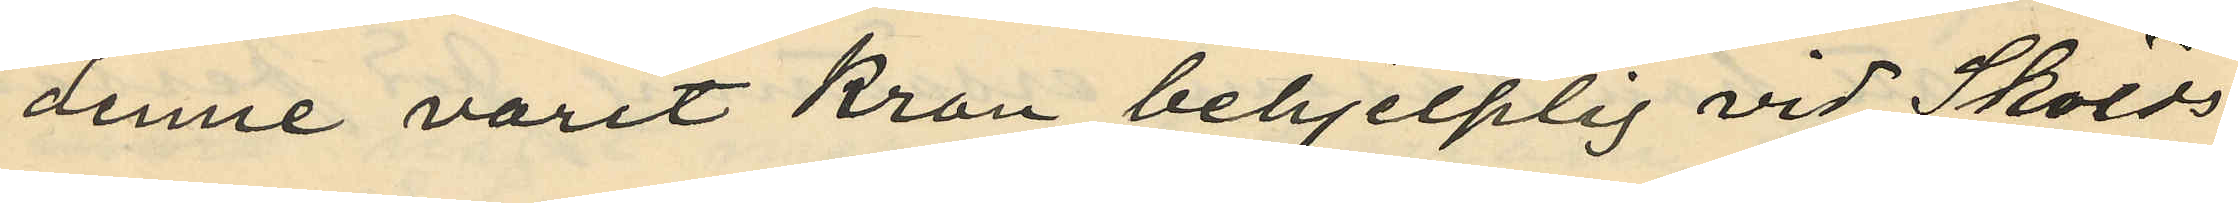denne varit Kron behjelplig vid Skölds
